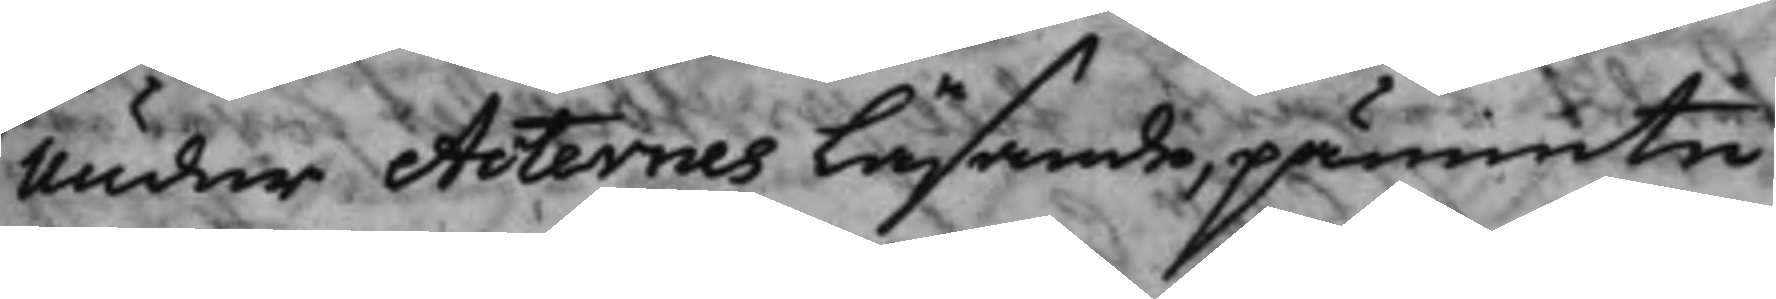Under Acternes läsande, påminte
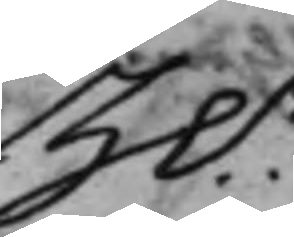H.r
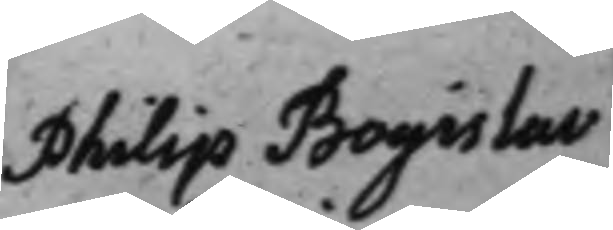Philip Bogislas
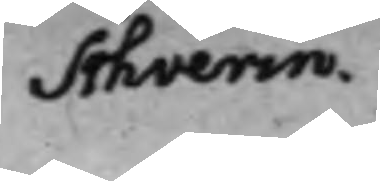Schverin.
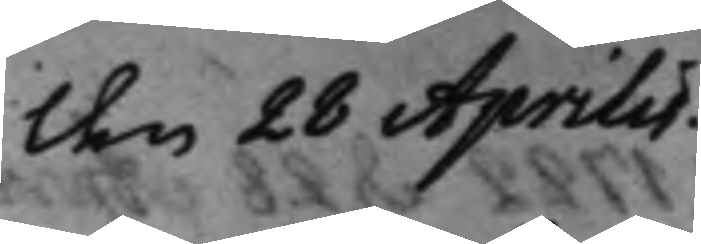den 28 Aprilis.
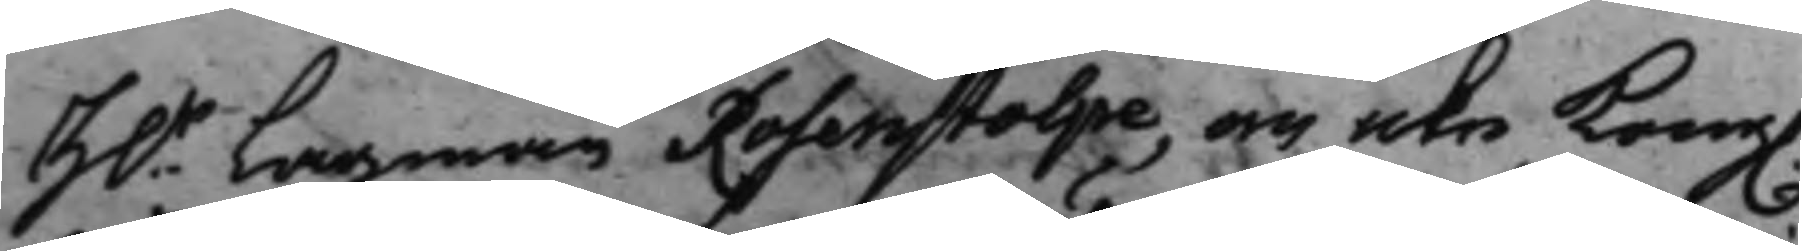H.r Lagman Rosenstolpe, om icke Kong.
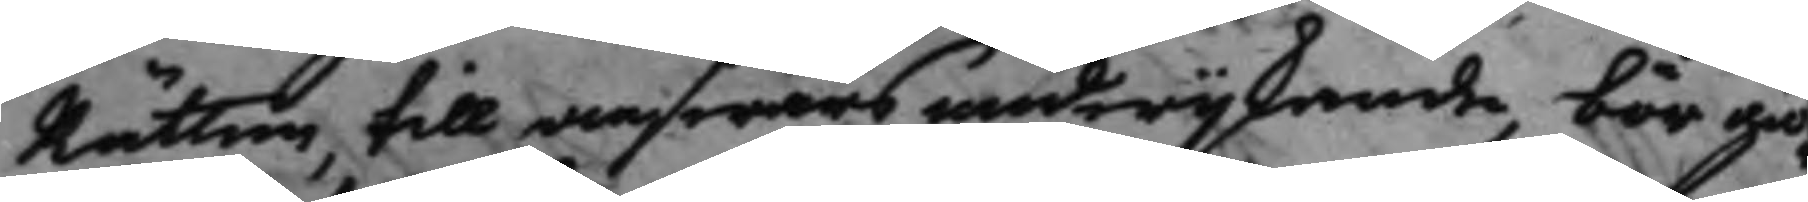Rätten till answar undwijkande, bör giö¬
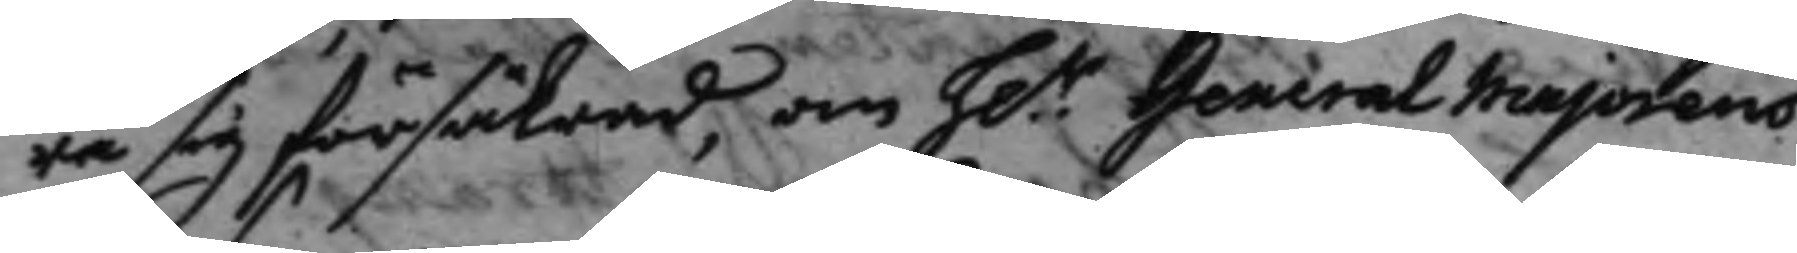ra sig försäkrad, om h.r General Majorens
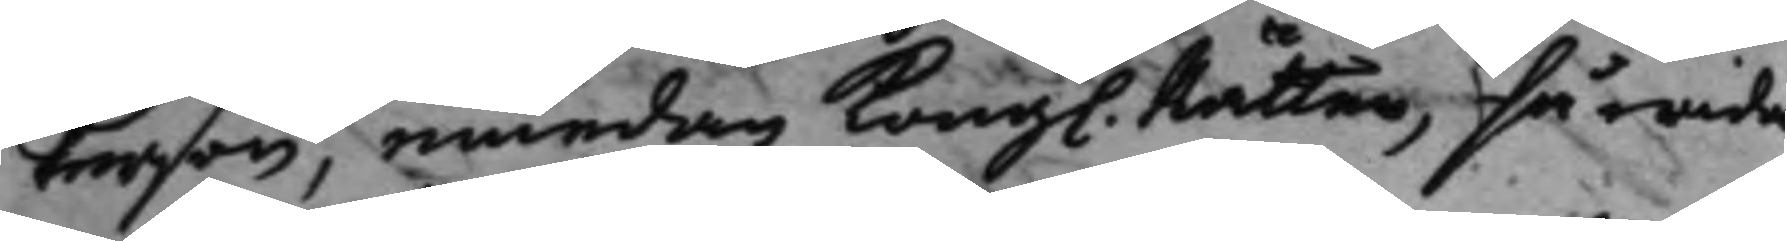Person, emedan Kong. Rätten, så wida
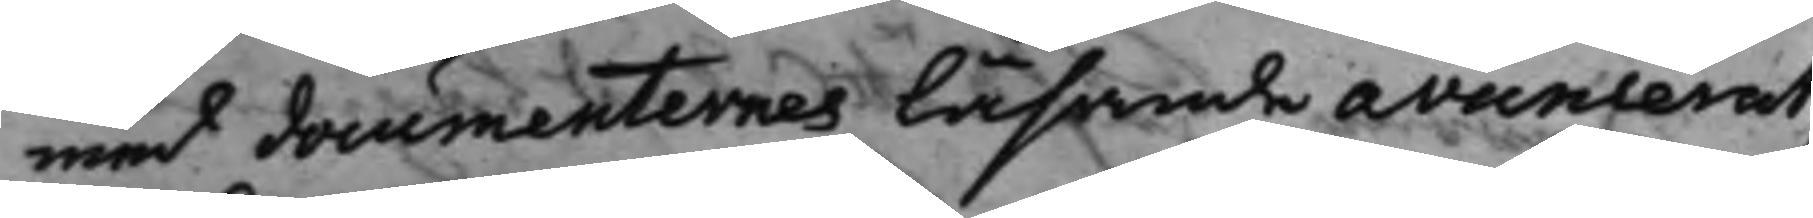med documenternes läsande avancerat,
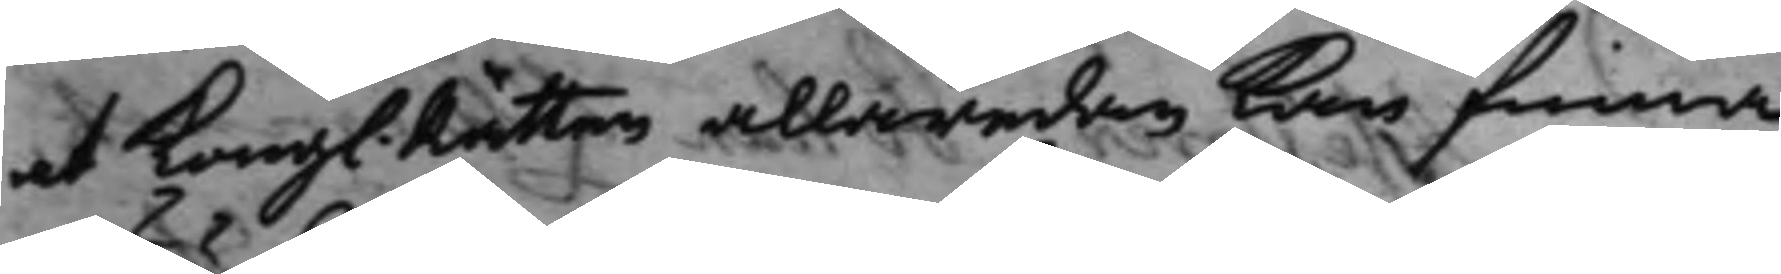at Kongl. Rätten allaredan kan finna,
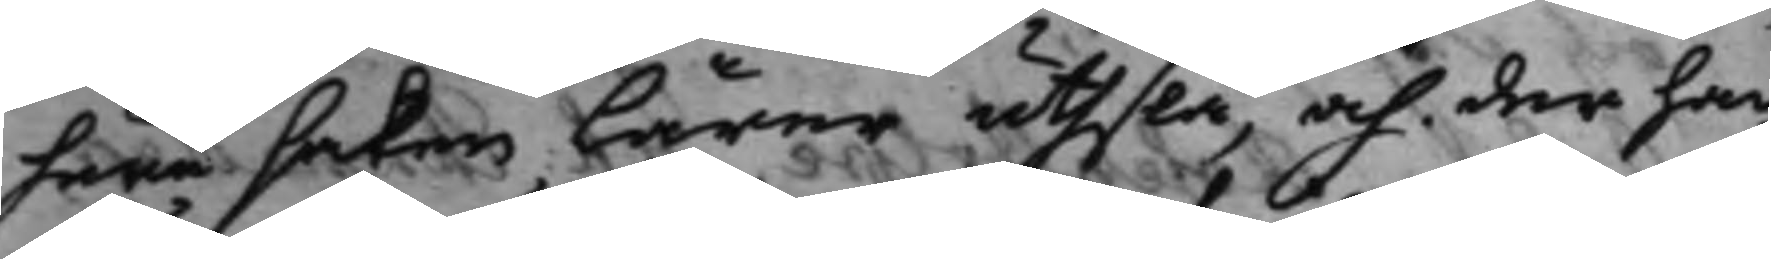huru saken lärer uthslå, och der han
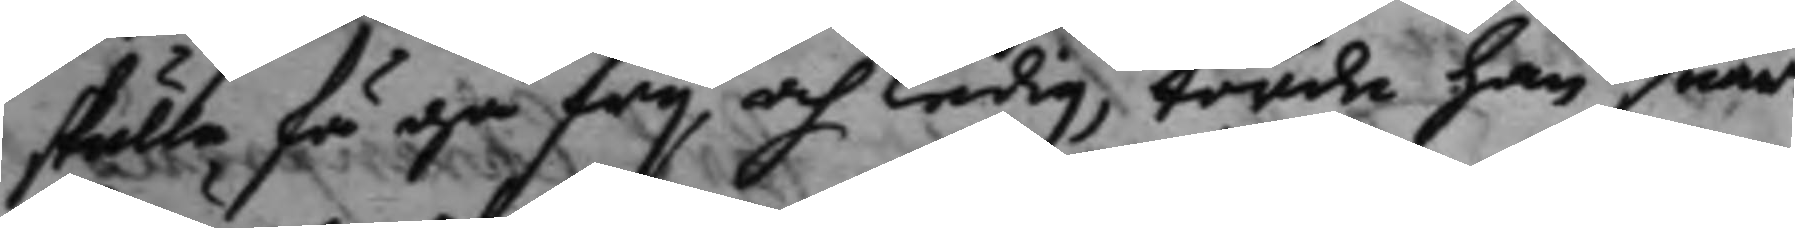skulle få gå frij och ledig, torde han snart
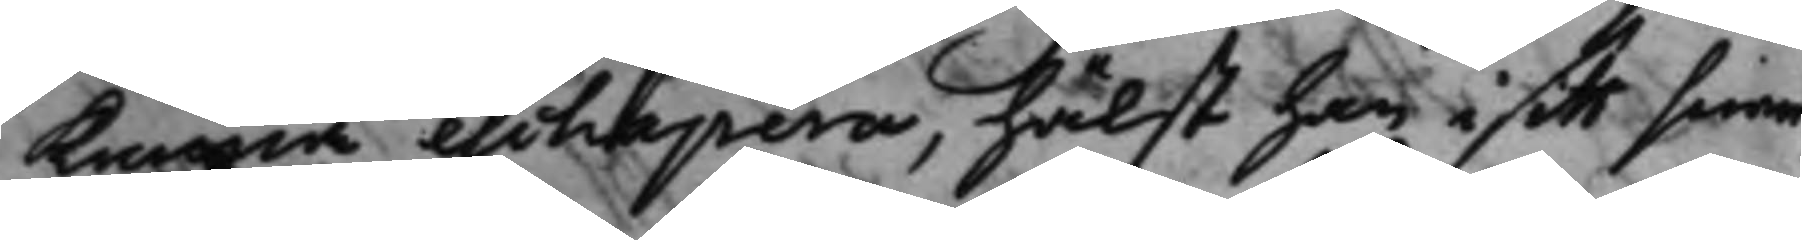kunna eschapera, hälst han i sitt sinne
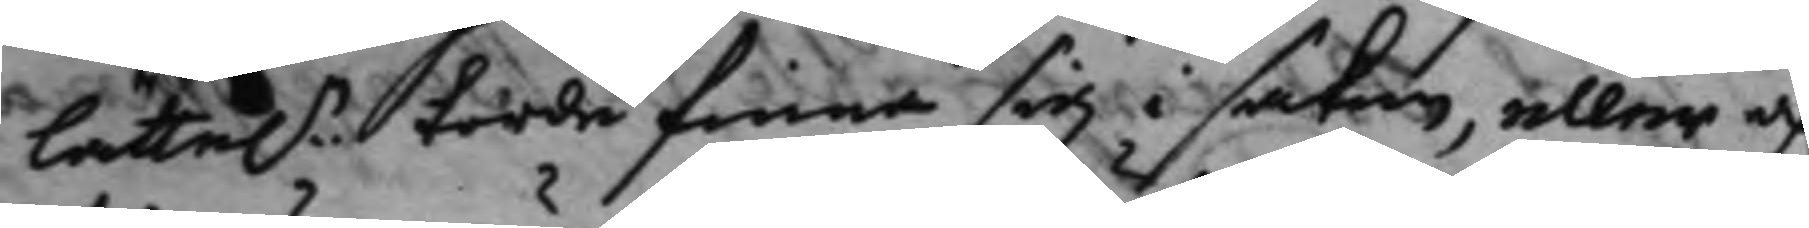lätte.n torde finna sig i saken, eller a
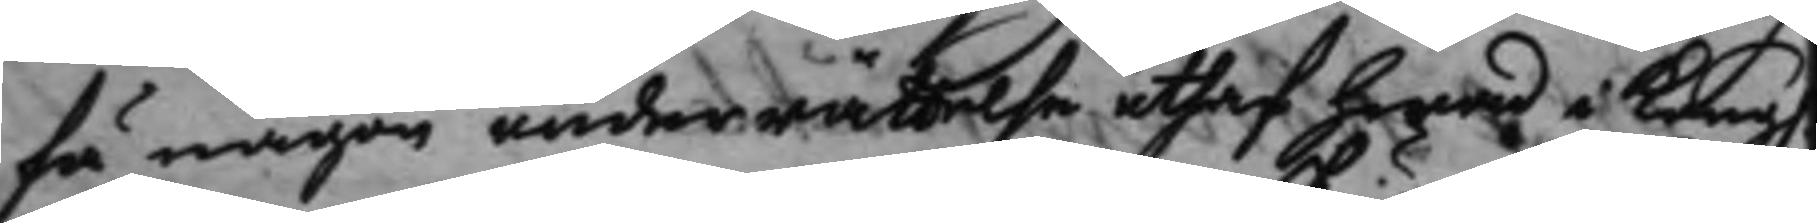få någon underrättelse uthaf hwad i Kong.
